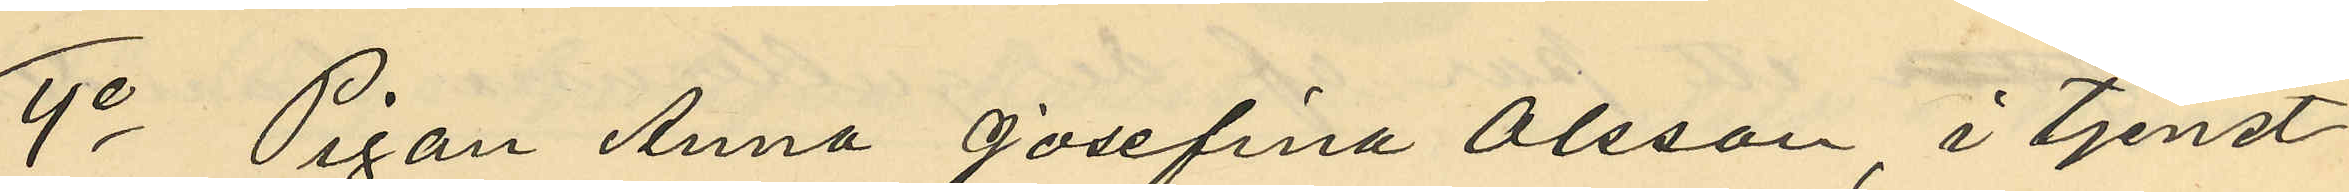4o Pigan Anna Josefina Olsson i tjenst
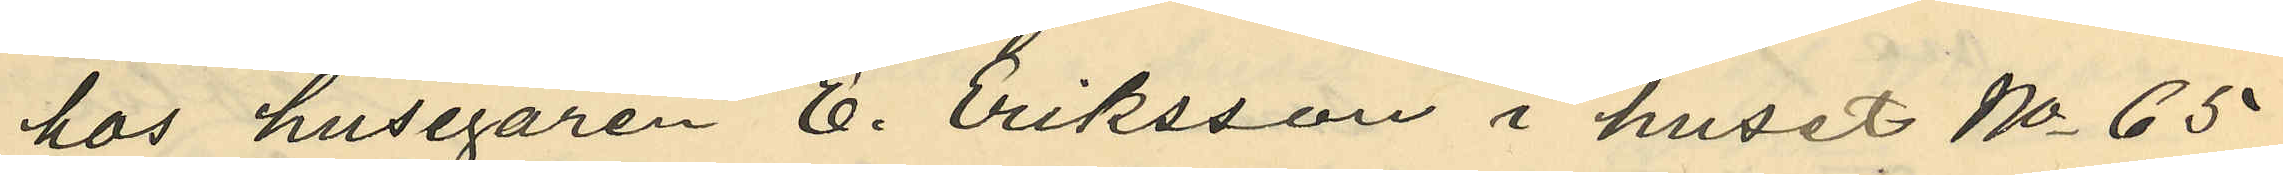hos husegaren E. Eriksson i huset No 65
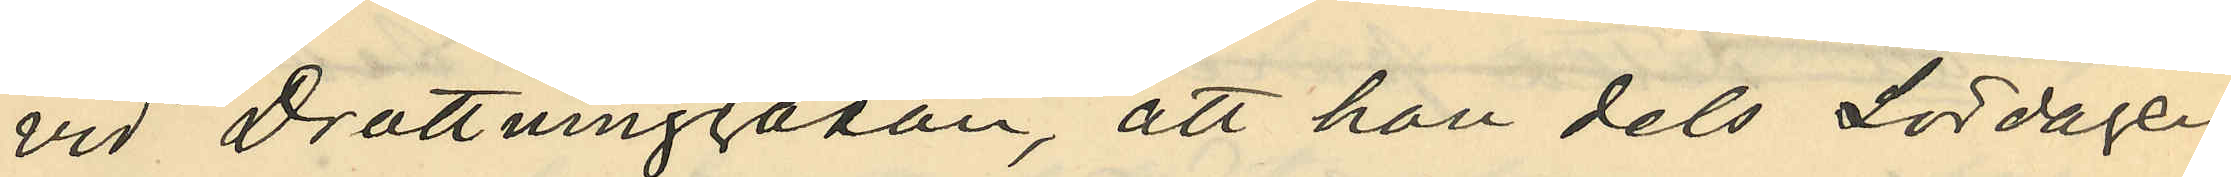vid Drottninggatan, att hon dels Lördagen
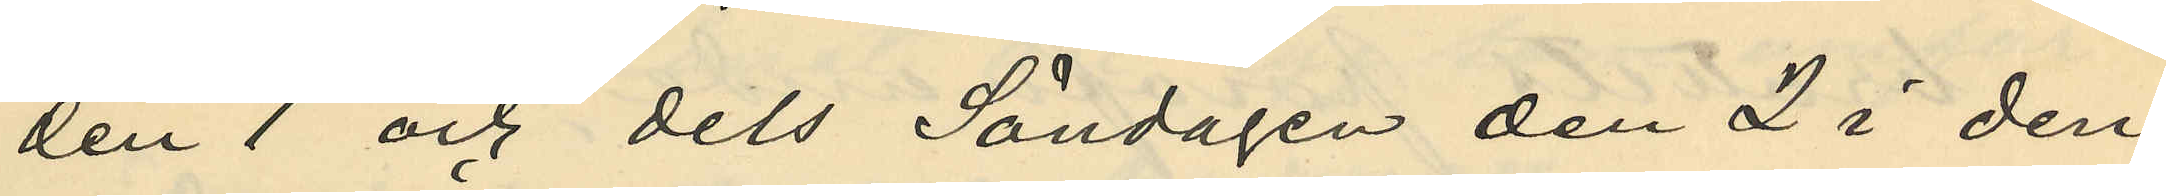den 1 och dels Söndagen den 2 i den¬
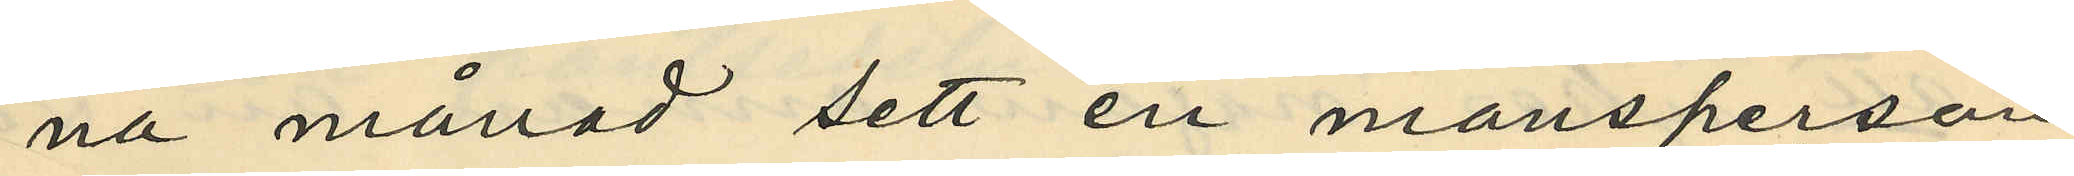na månad sett en mansperson
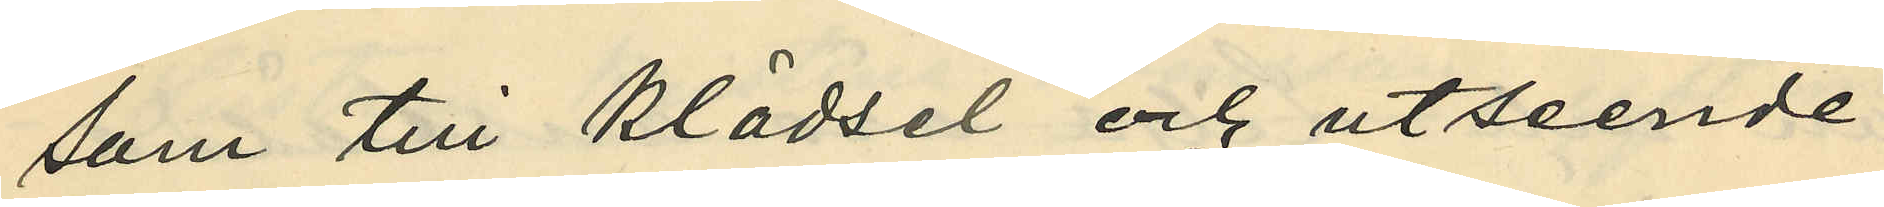som till klädsel och utseende
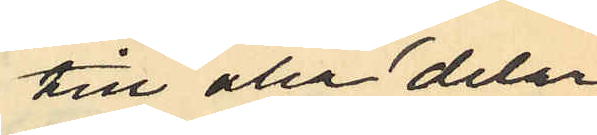till alla delar
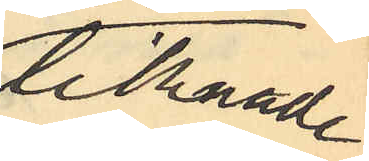liknade
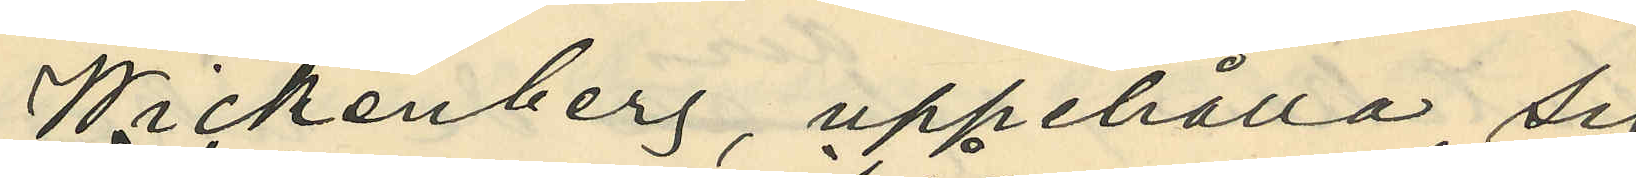Wickenberg, uppehålla sig i
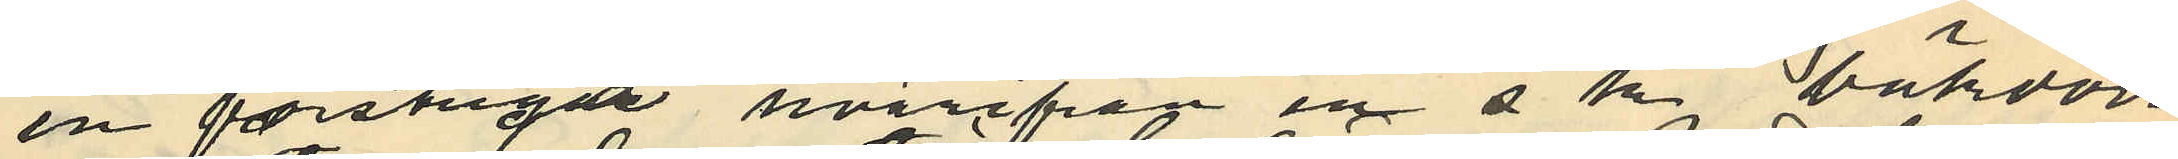en förstuga hvarifrån en s k bakdörr
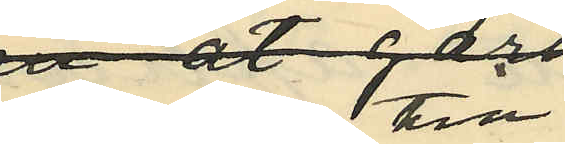leder till
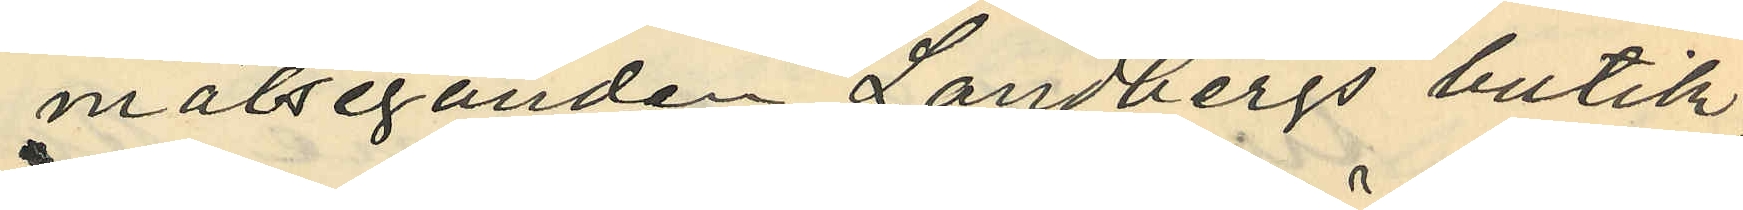målseganden Landbergs butik;
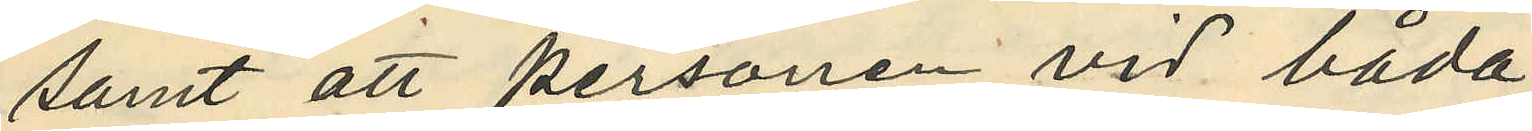samt att personen vid båda
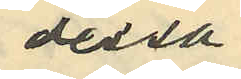dessa
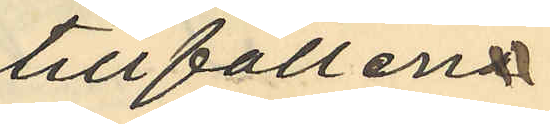tillfällen
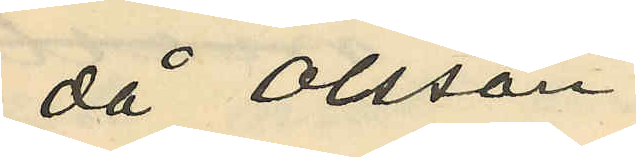då Olsson
